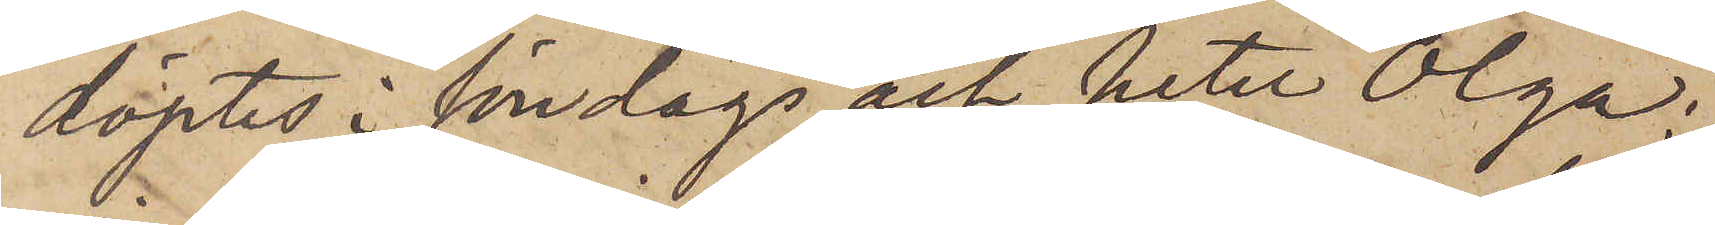döptes i söndags och heter Olga;
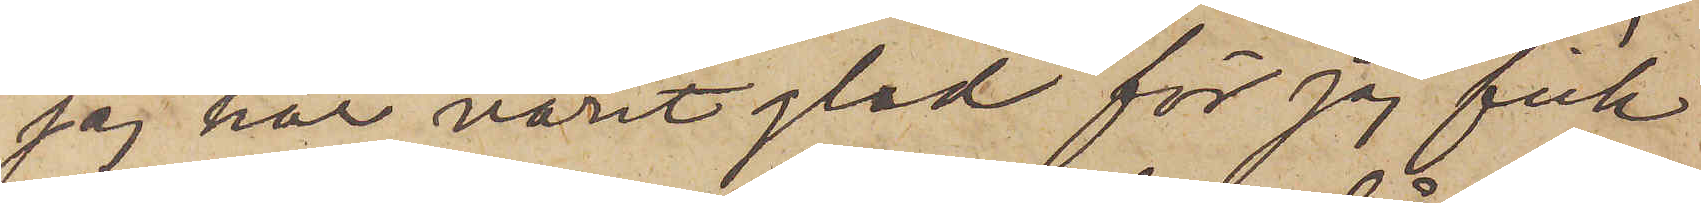jag har varit glad för jag fick
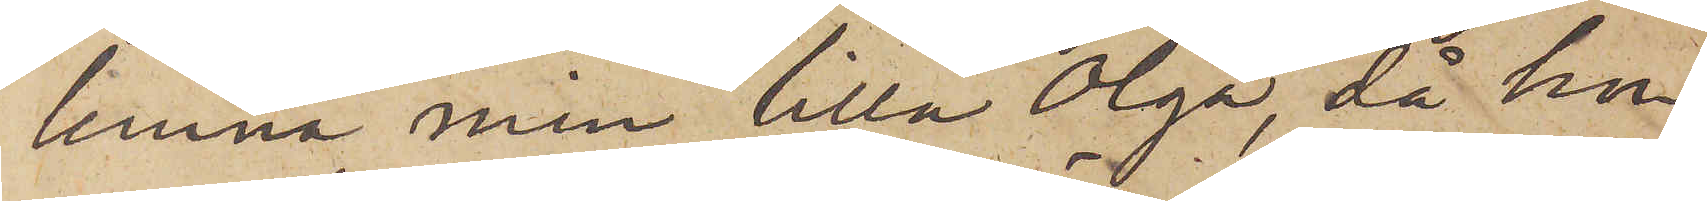lemna min Lilla Olga, då hon
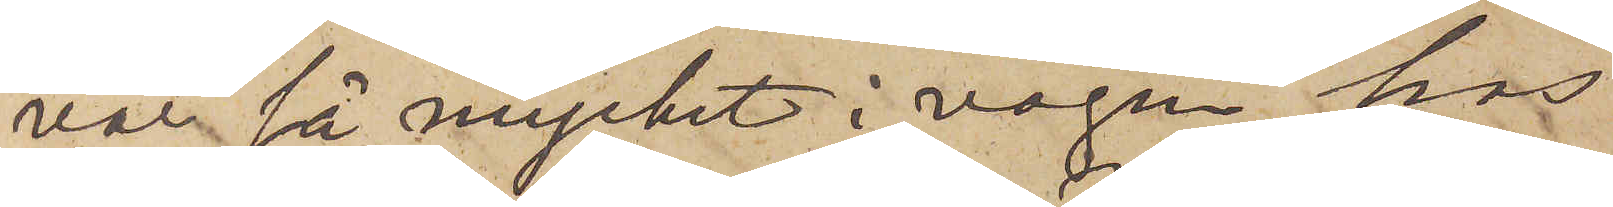var så mycket i vägen hos
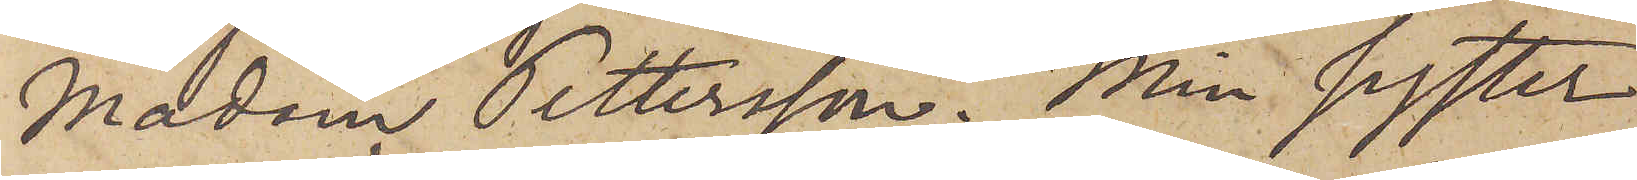Madam Pettersson. Min syster
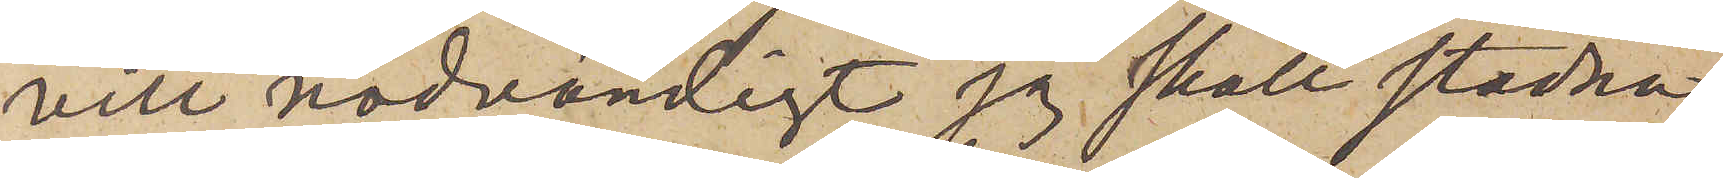vill nödvändigt jag skall stadna
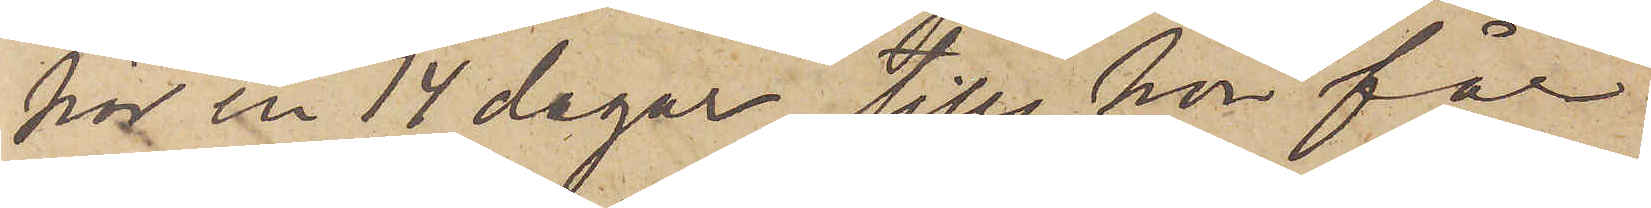här en 14 dagar, tills hon får
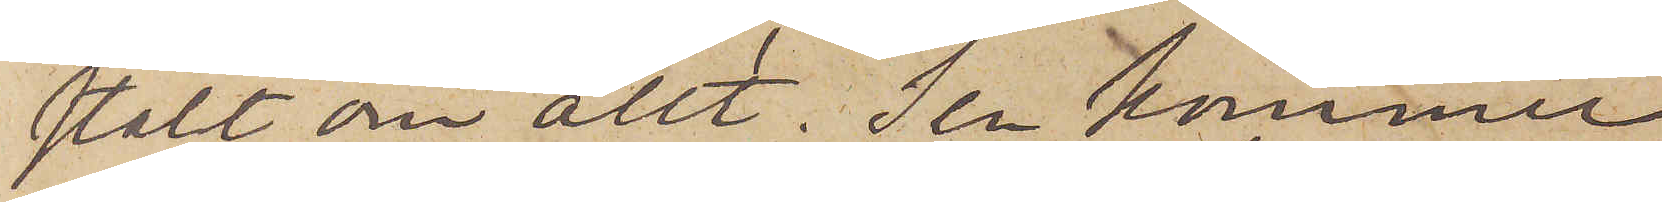stält om allt. Sen kommer
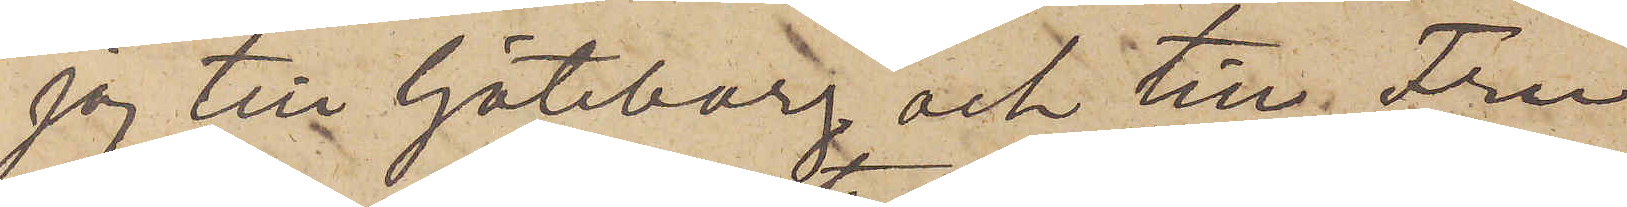jag till Göteborg och till Fru
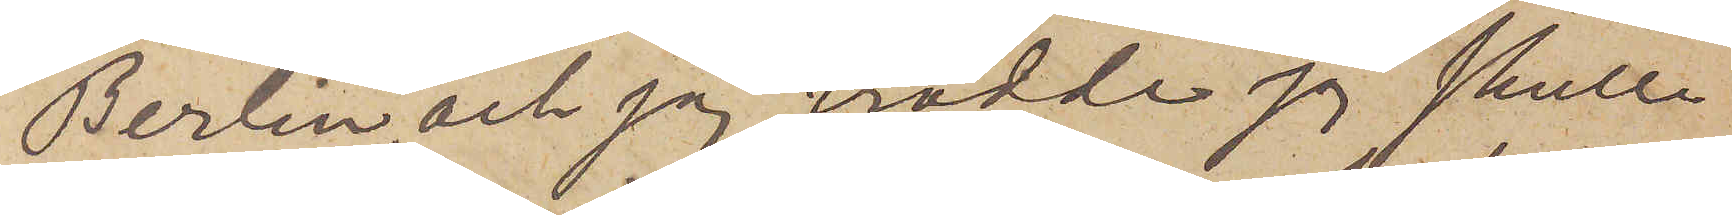Berlin; och jag trodde jag skulle
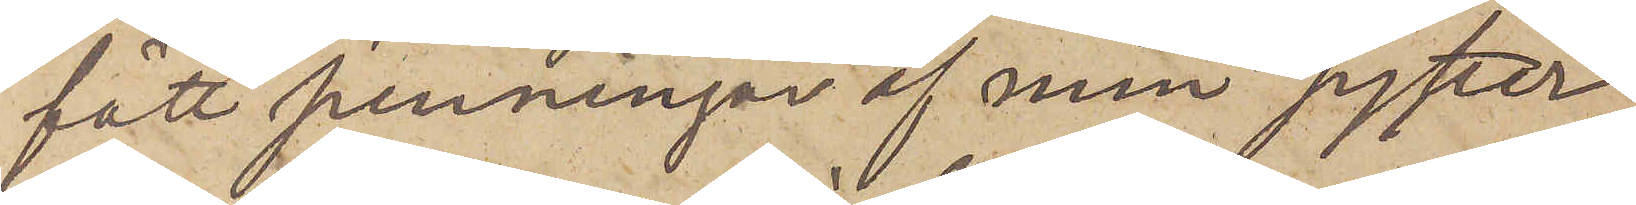fått penningar af min syster
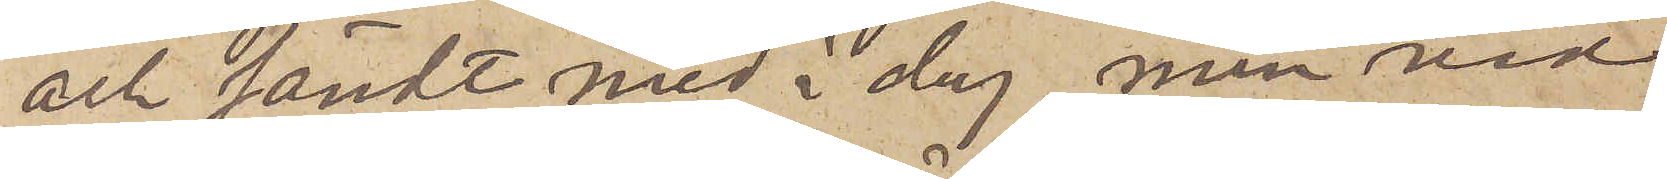och sändt med i dag, men vid
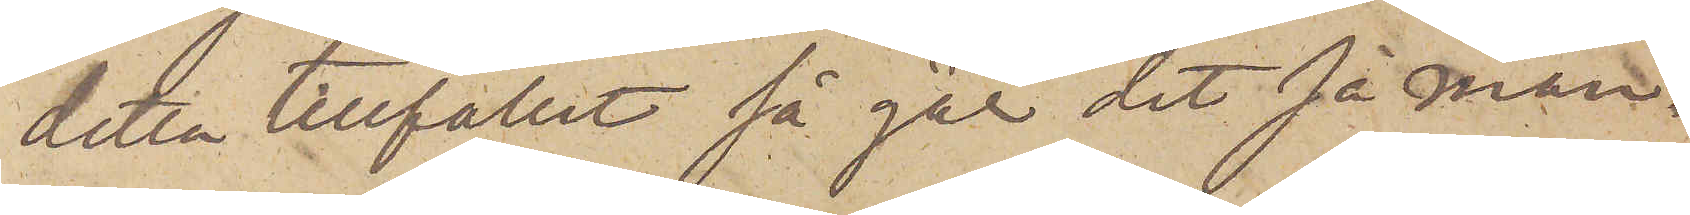detta tillfället så går det på mån¬
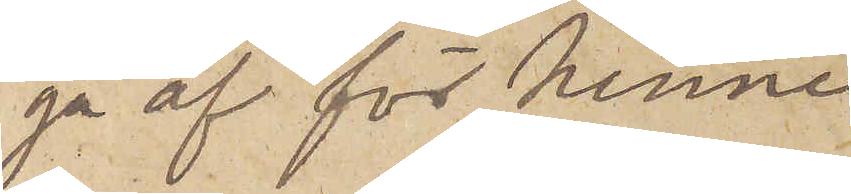ga af för henne
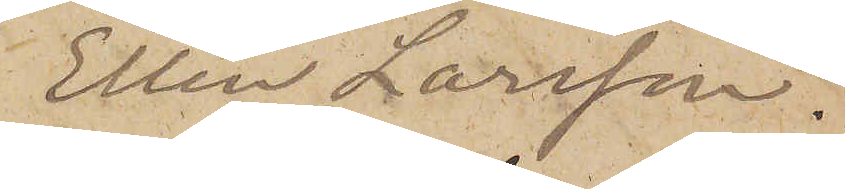Ellen Larsson."
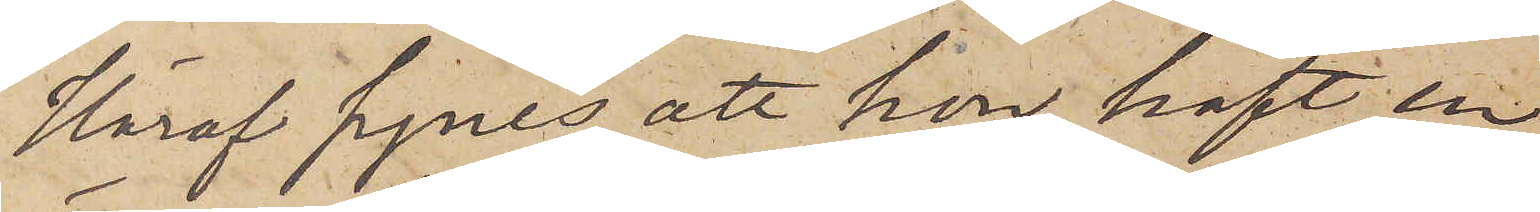Häraf synes, att hon haft en
